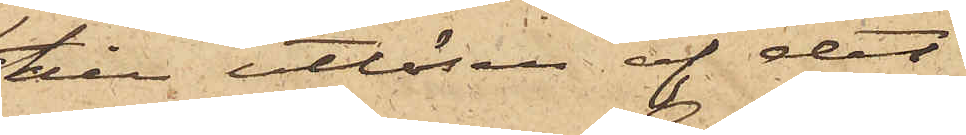till utlösen af det
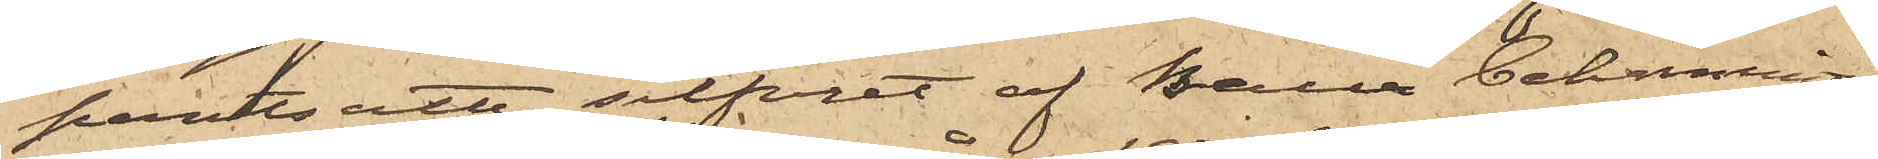pantsatte silfvret af Baur bekommit
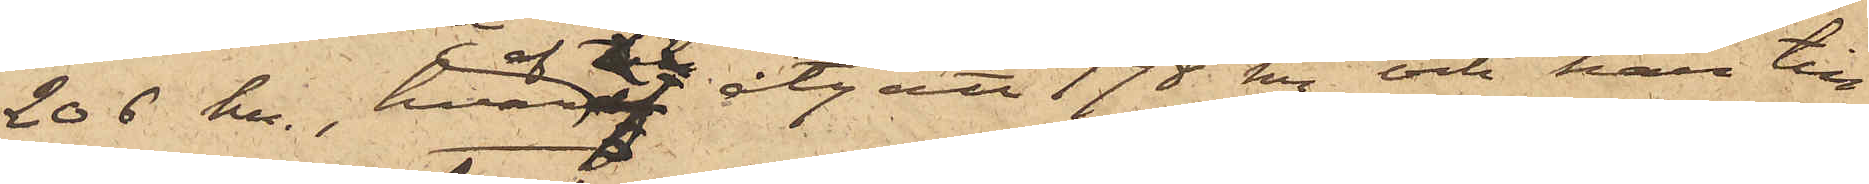206 kr, hvaraf åtgått 198 kr och han till
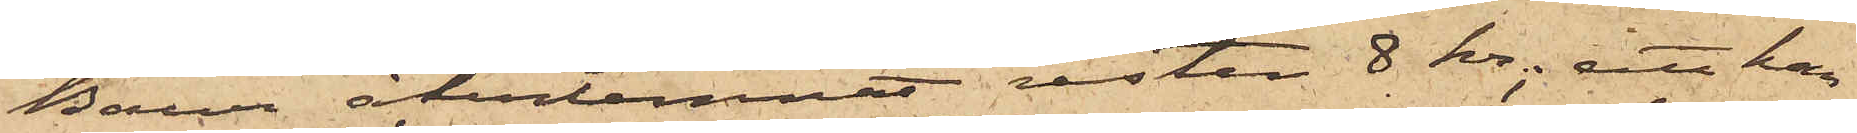Baur återlemnat resten 8 Kr; att han
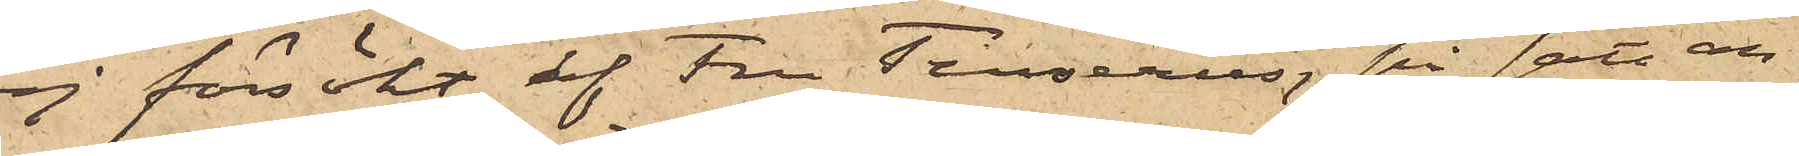ej försökt af Fru Terserus, på sätt an¬
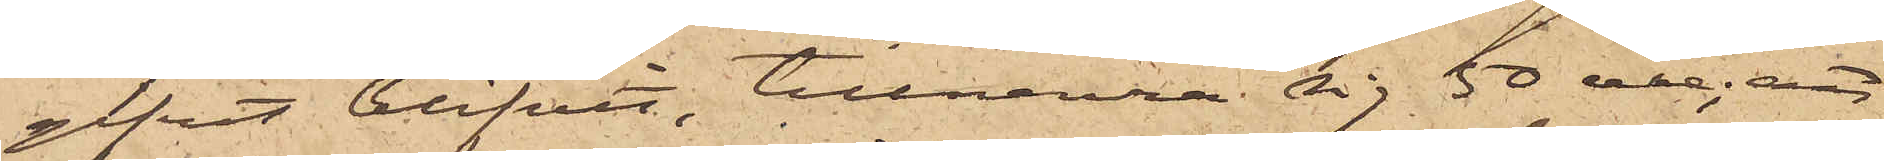gifvet blifvit, tillnarra sig 50 öre; att
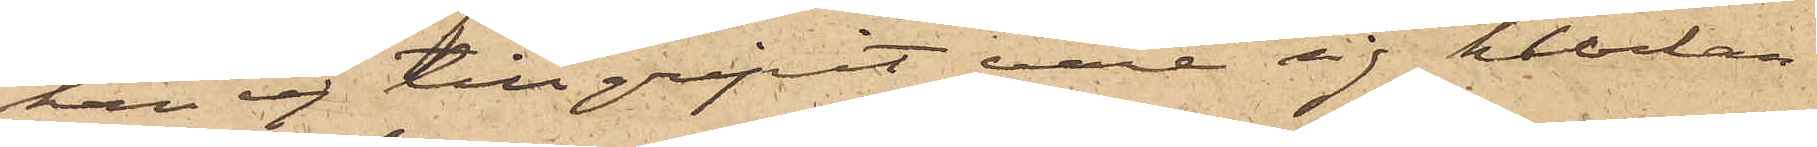han ej tillgripit vare sig klockan
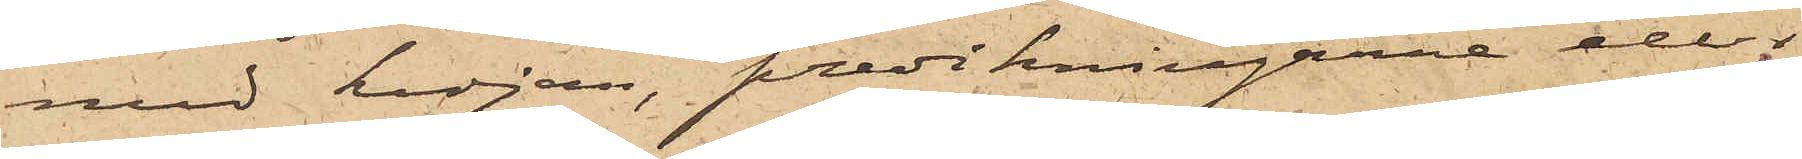med kedjan, predikningarne eller
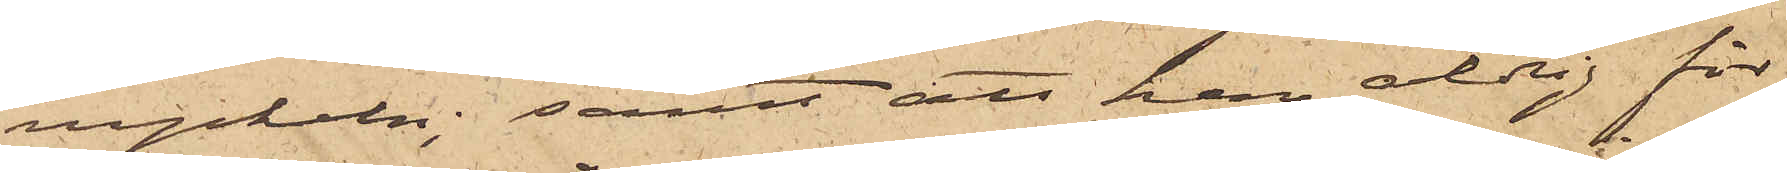nyckeln; samt att han aldrig för
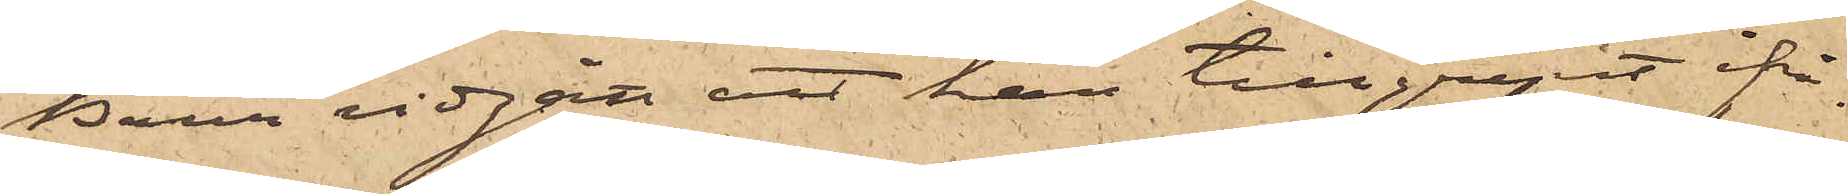Baur vidgått att han tillgripit ifrå¬
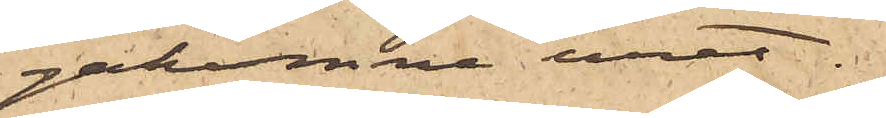gakomne uret.
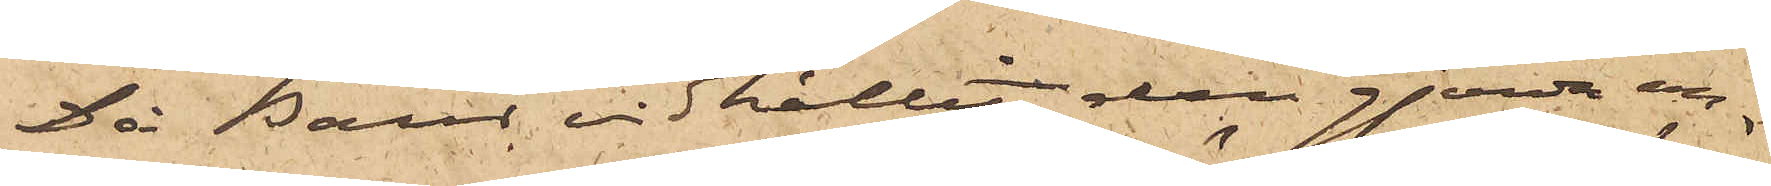Då Baur vidhållit den gjorda an¬
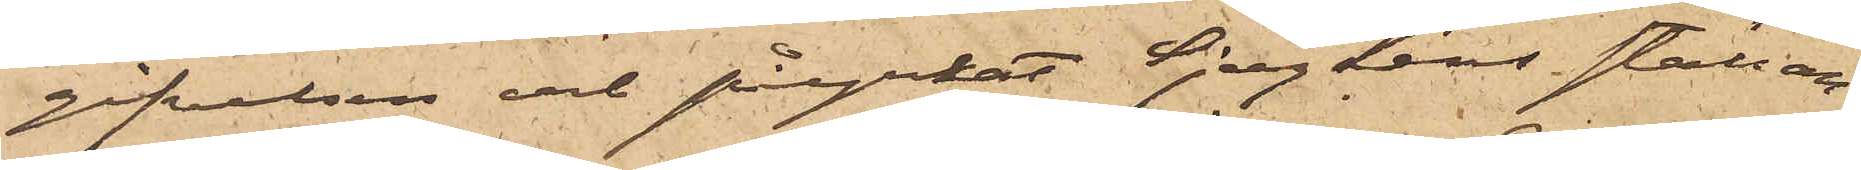gifvelsen och påyrkat Sjögrens ställan¬
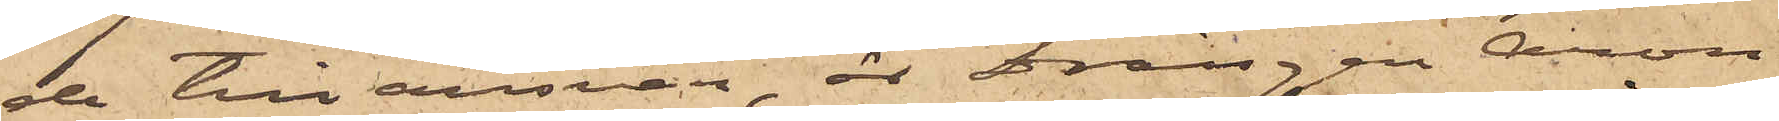de till ansvar, är drängen Aron
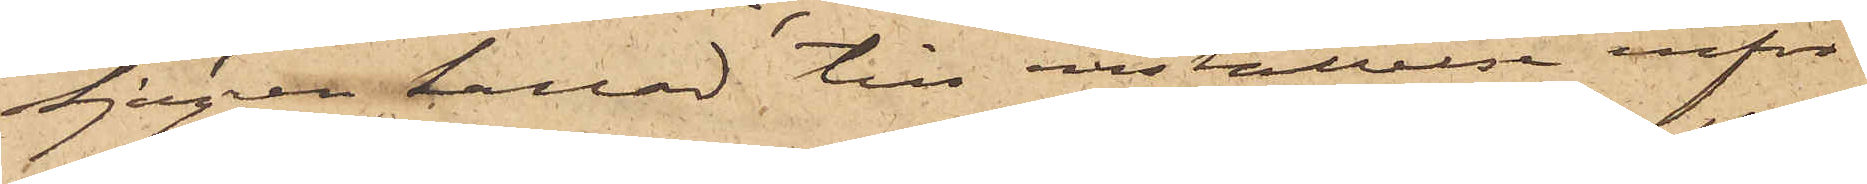Sjögren kallad till inställelse inför
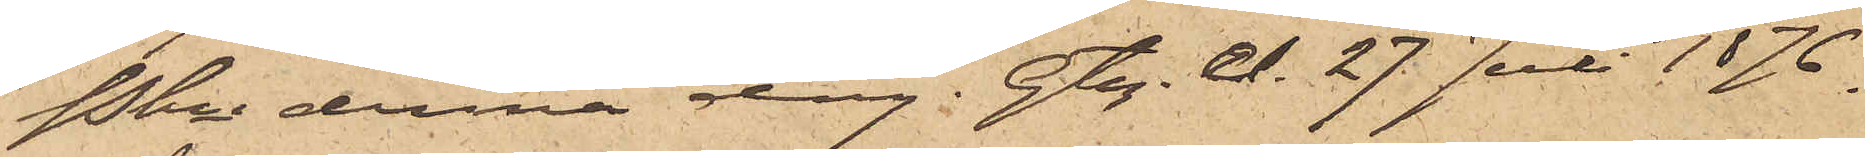Pkn denna dag. Gtg. d. 27 Juli 1876.
